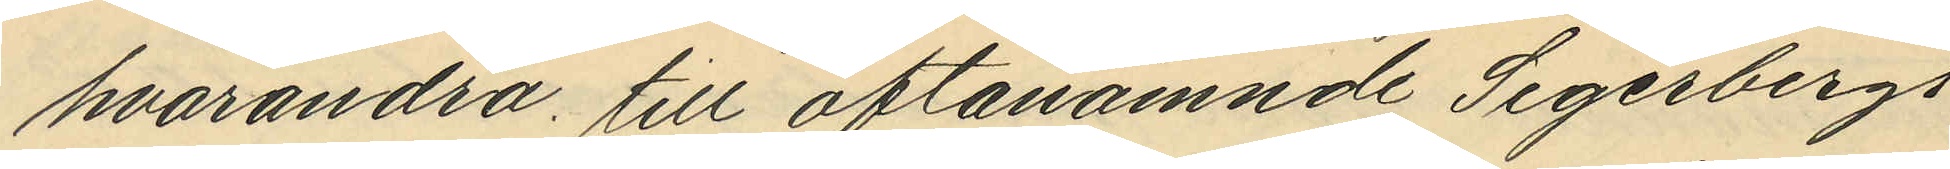hvarandra till oftanämnde Segerbergs
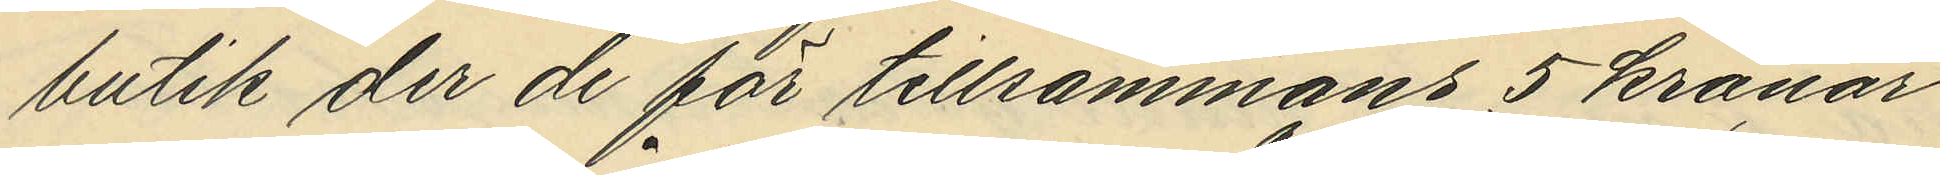butik der de för tillsammans 5 kronor
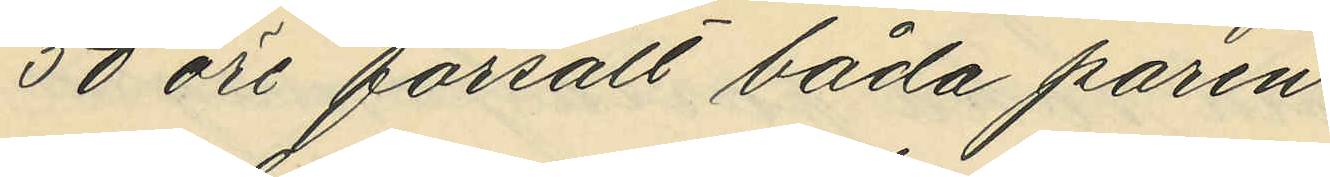50 öre försålt båda paren
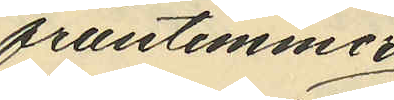fruntimmer¬
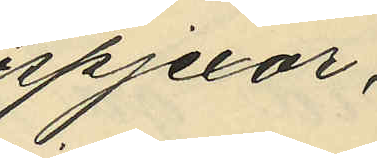spjexor,
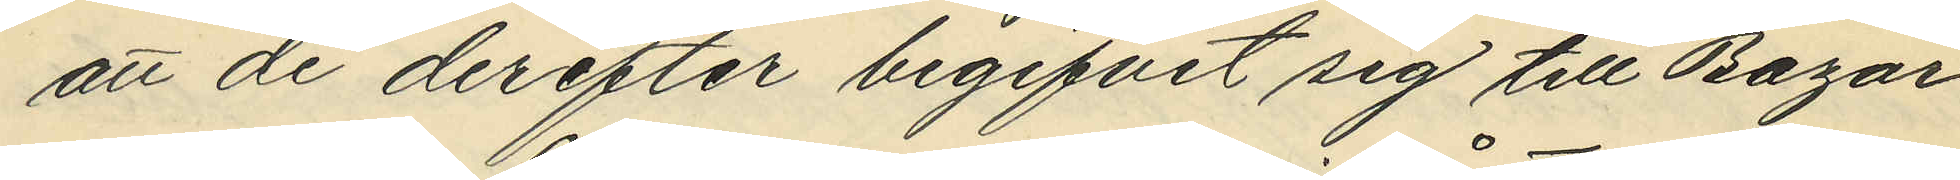att de derefter begifvit sig till Bazar¬
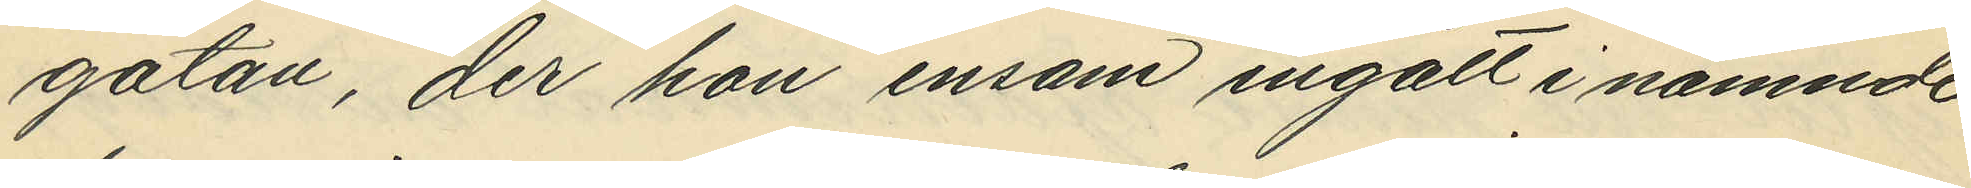gatan, der hon ensam ingått i nämnde
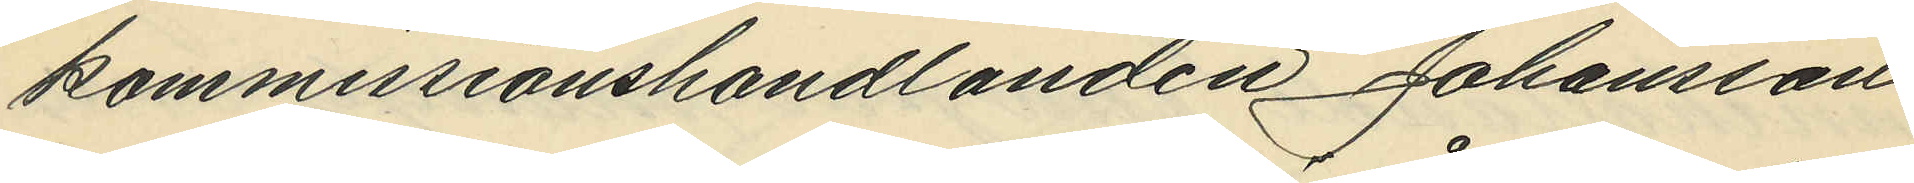kommissionshandlanden Johansson
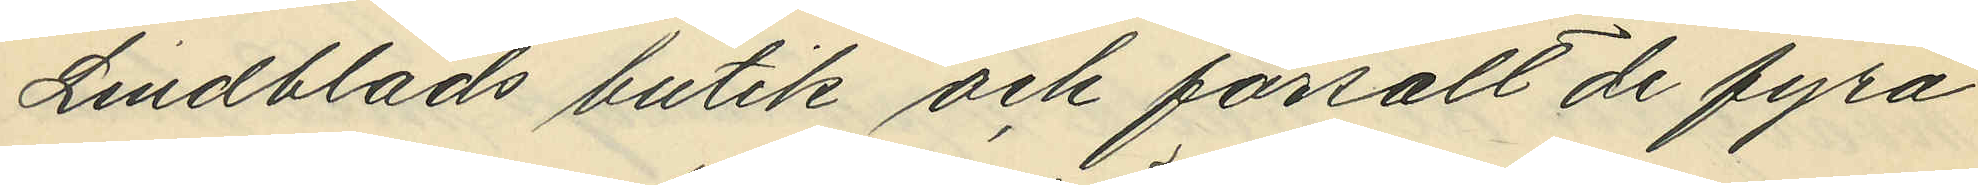Lindblads butik och försålt de fyra
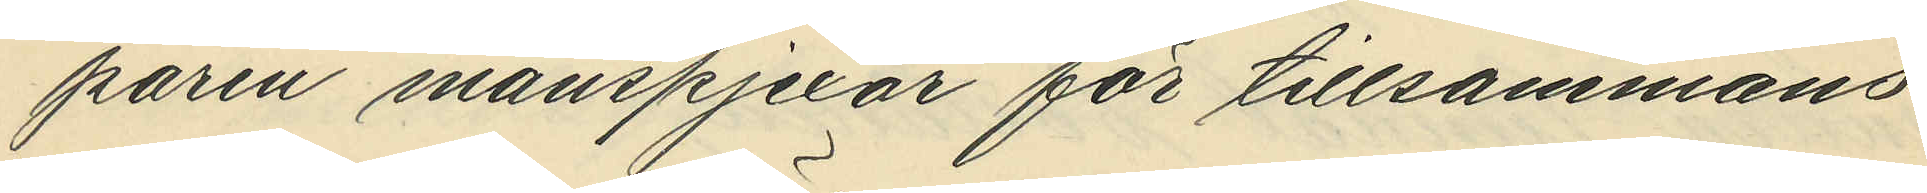paren manspjexor för tillsammans
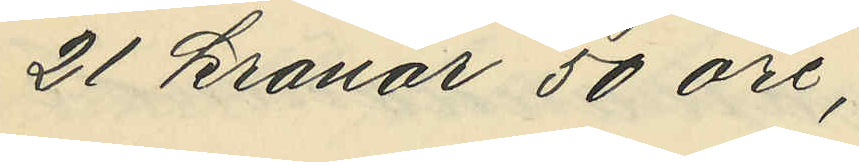21 kronor 50 öre;
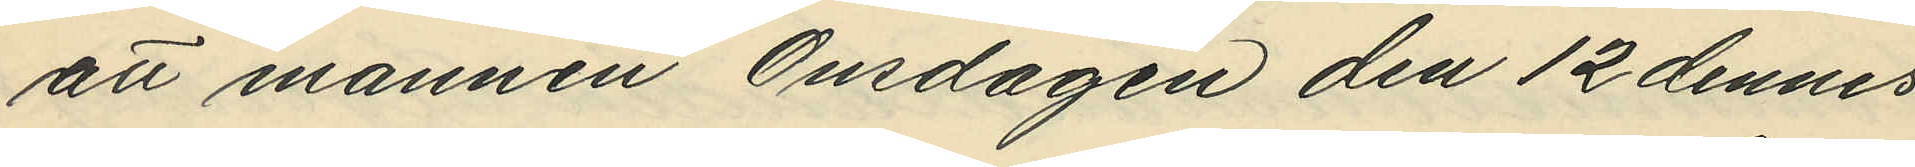att mannen Onsdagen den 12 dennes
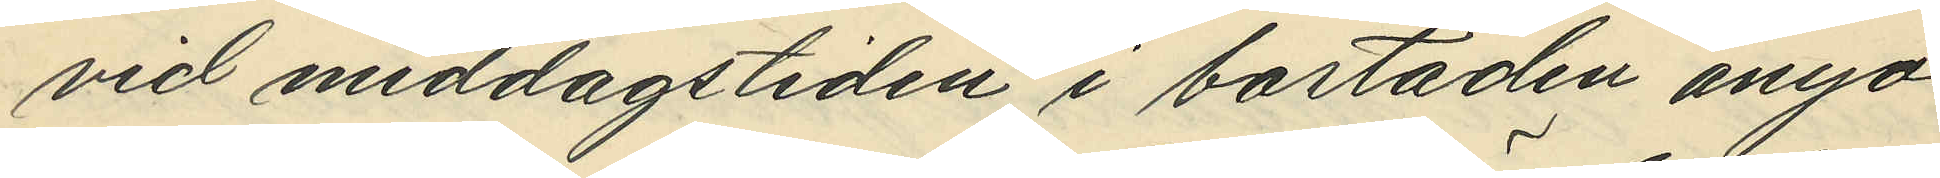vid middagsstiden i bostaden ånyo
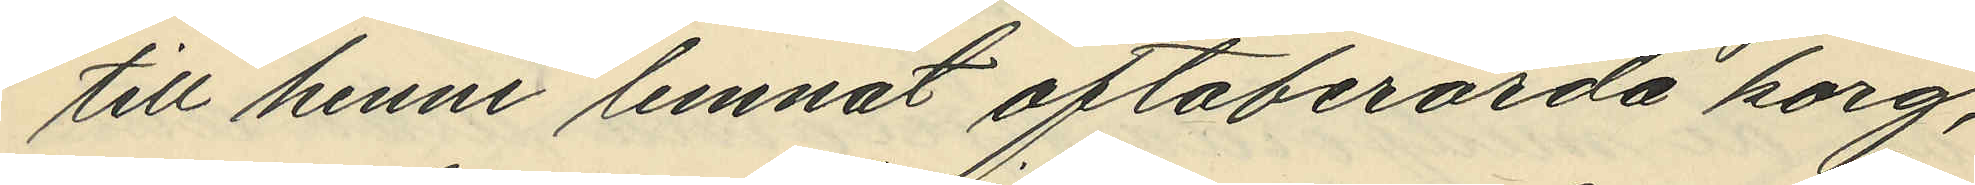till henne lemnat oftaberörda korg,
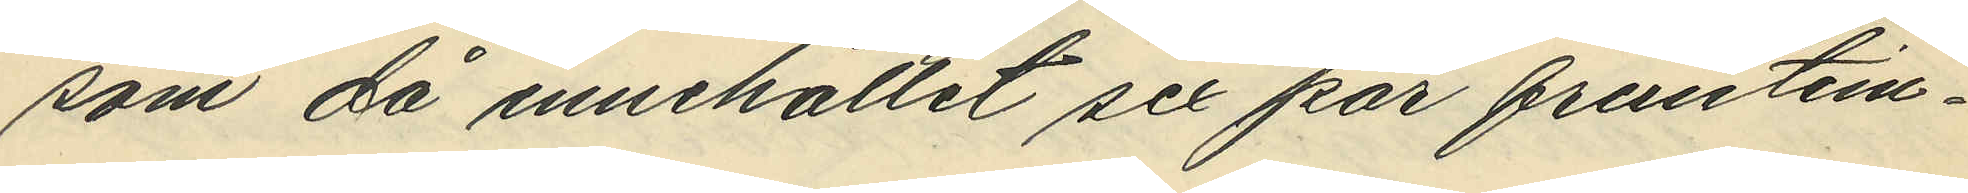som då innehållet sex par frumtim¬
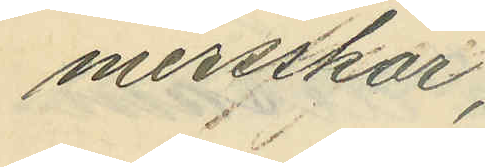mersskor;
